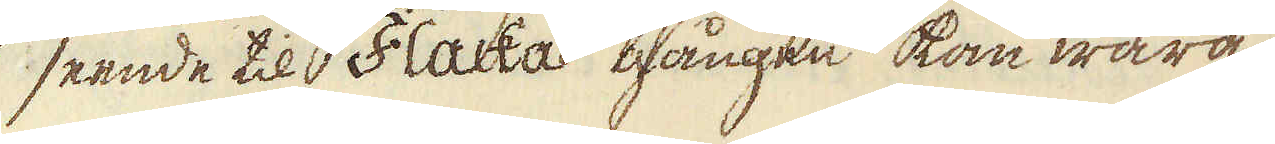seende til Flacka gången kan wara
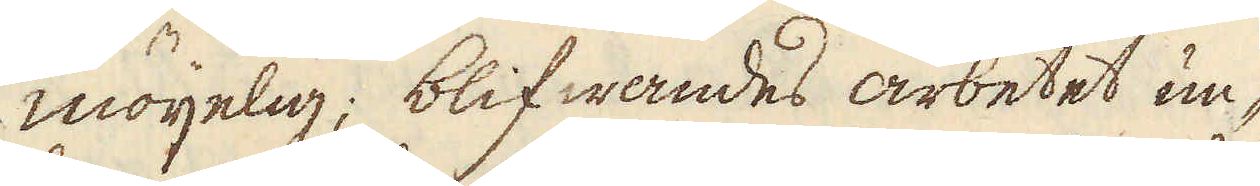möijelig; blifwandes arbetet un-
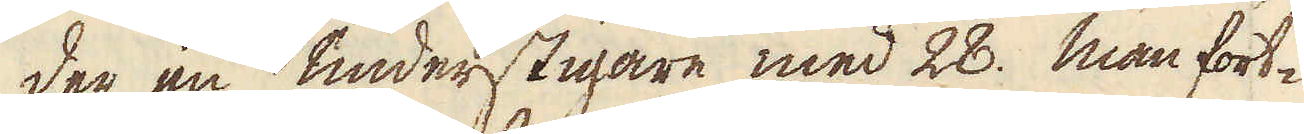der en understigare med 28. man fort-
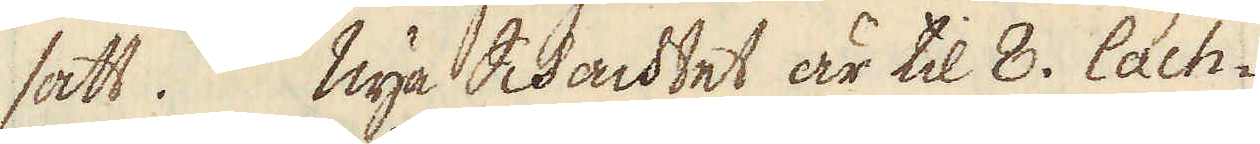satt. Nya Schachtet är til 8. lach-
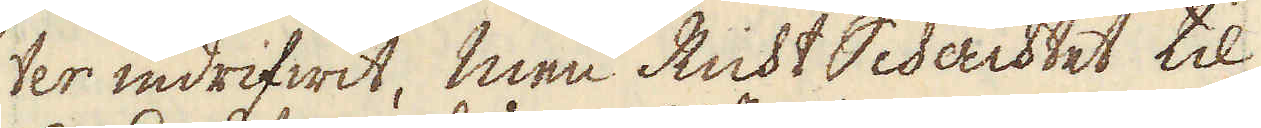ter indrifwit; men Richt Schachtet, til
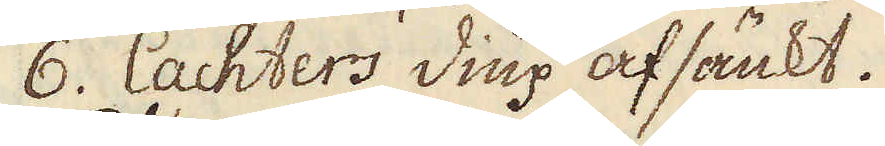6. lachters diup afsänkt.
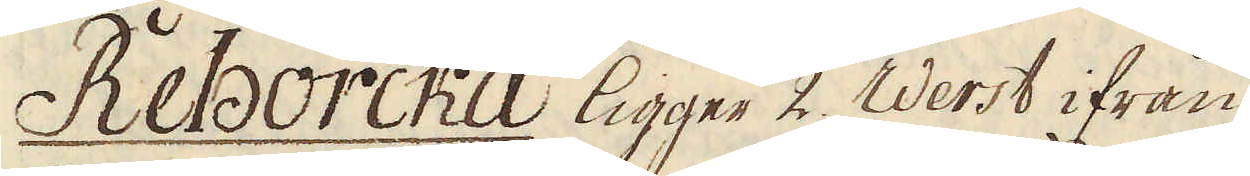Reborcka ligger 2. Werst ifrån
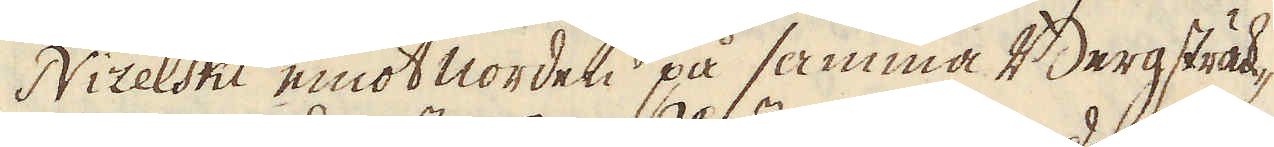Nizelski emot norden på samma Bergsträk-
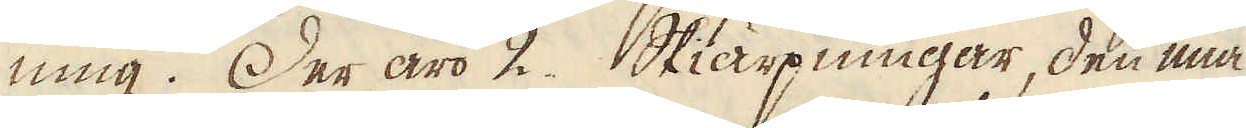ning. Der äro 2. Skiärpningar, den ena
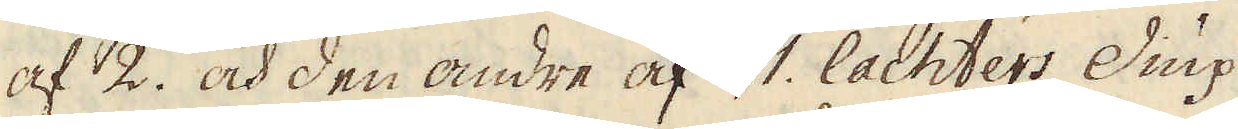af 2. och den andre af 1. lachters Diup,
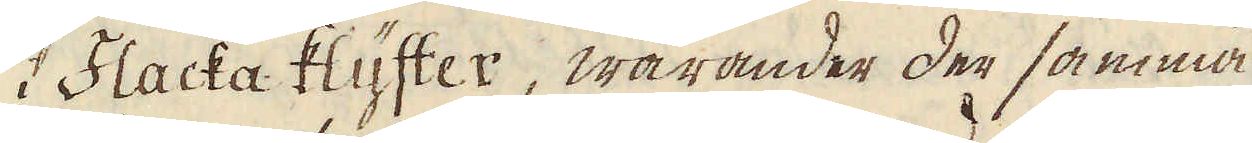i Flacka klyfter, warander der samma
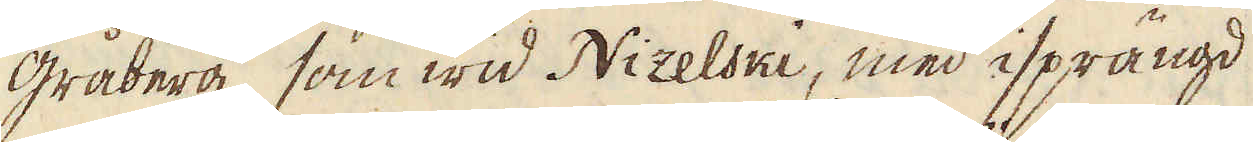gåberg, som wid Nizelski, med isprängd
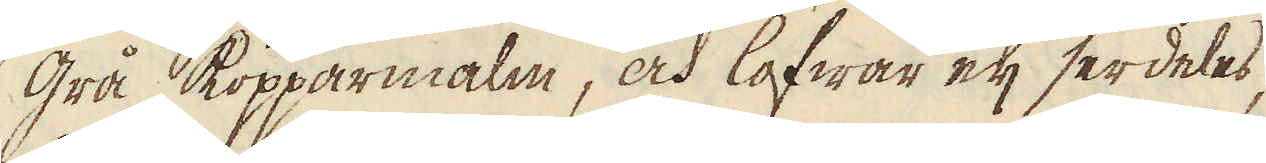grå kopparmalm, och lofwar eij serdeles,
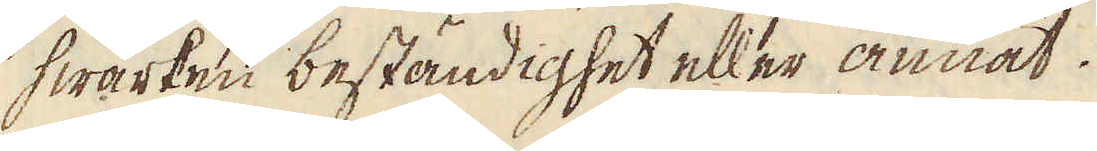hwarken beständighet eller annat.
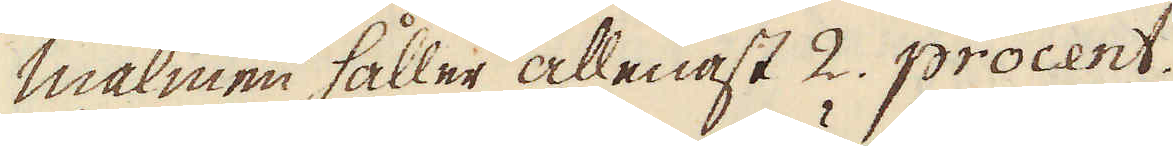Malmen håller allenast 2. procent.
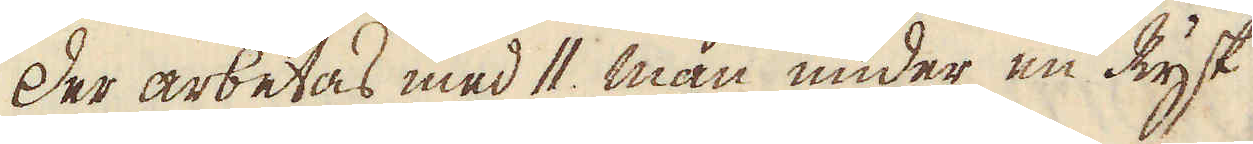Der arbetas med 11. man under en Rysk
